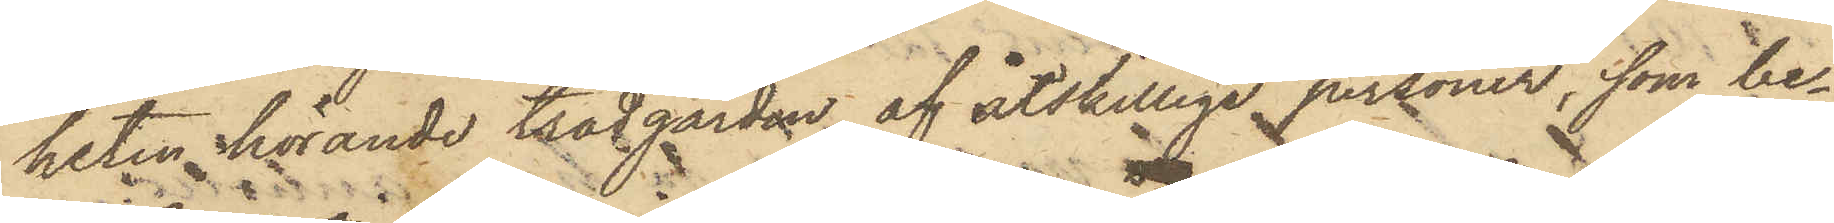heten hörande trädgården af åtskillige personer, som be¬
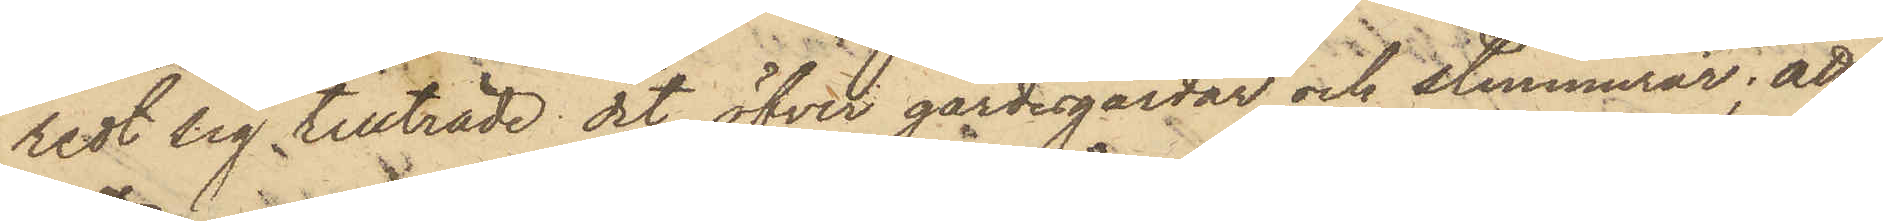redt sig tillträde dit öfver gärdesgårdar och stenmurar; att
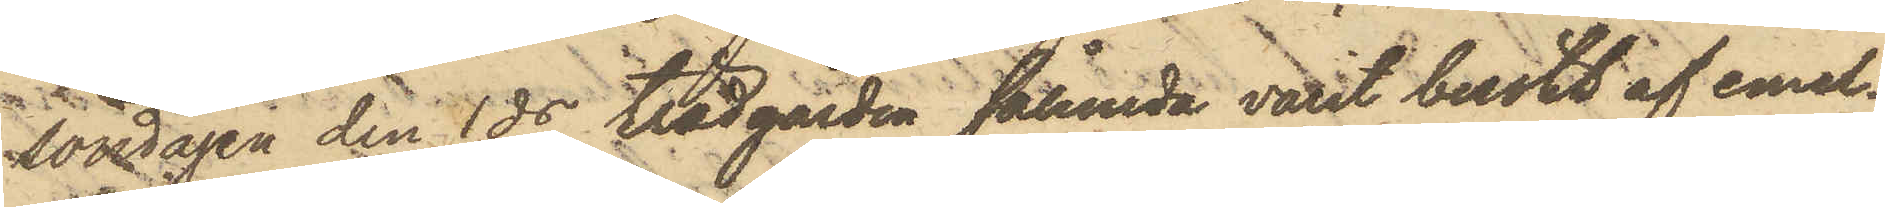Lördagen den 1 ds trädgården sålunda varit besökt af emel¬
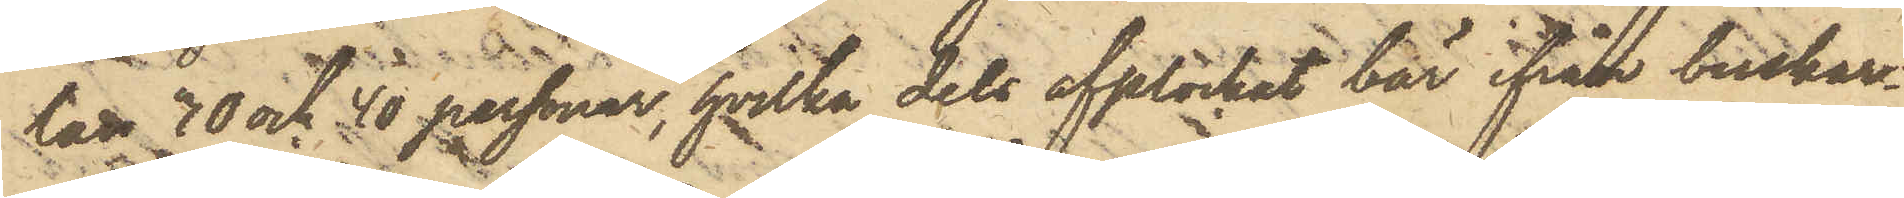lan 30 och 40 personar, hvilka dels upplockat bär ifrån buskar¬
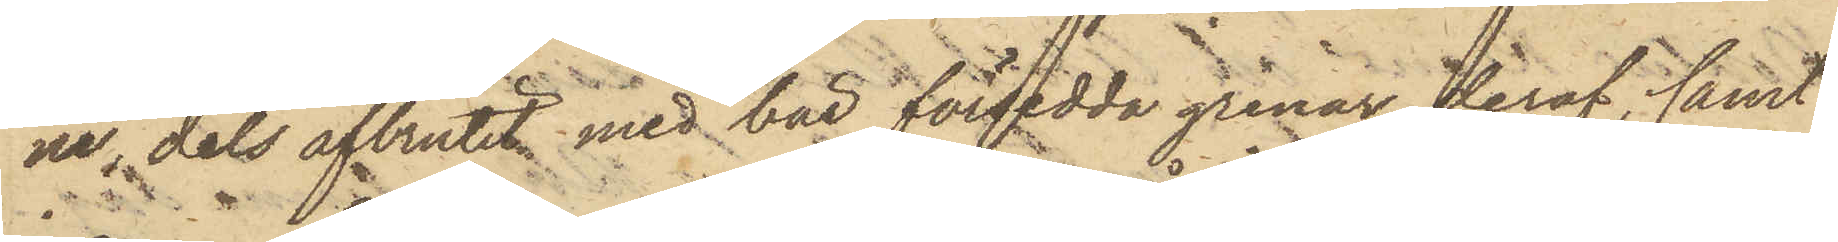ne, dels afbrutit med bär försedda grenar deraf, samt
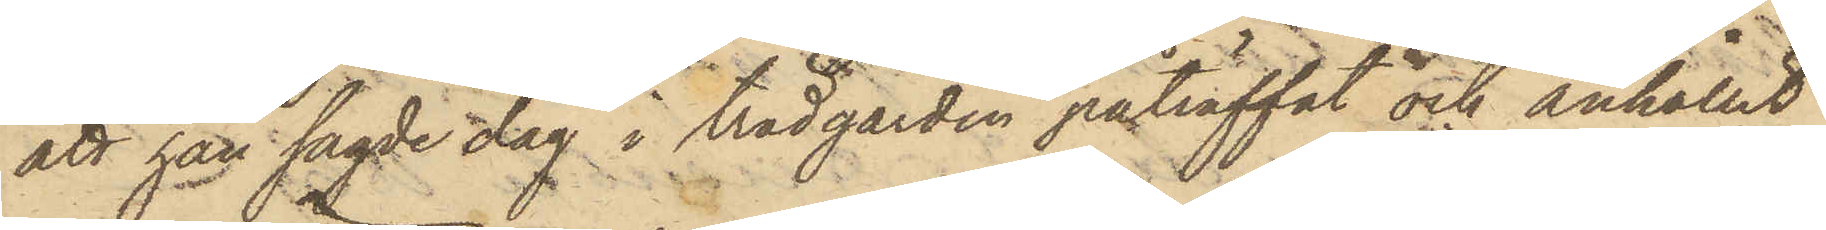att han sagde dag i trädgården påträffat och anhållit
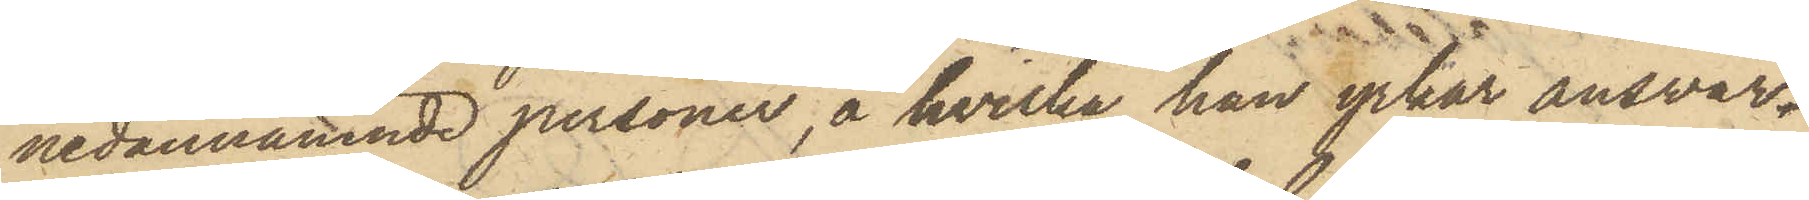nedannämnde personer, å hvilka han yrkar ansvar
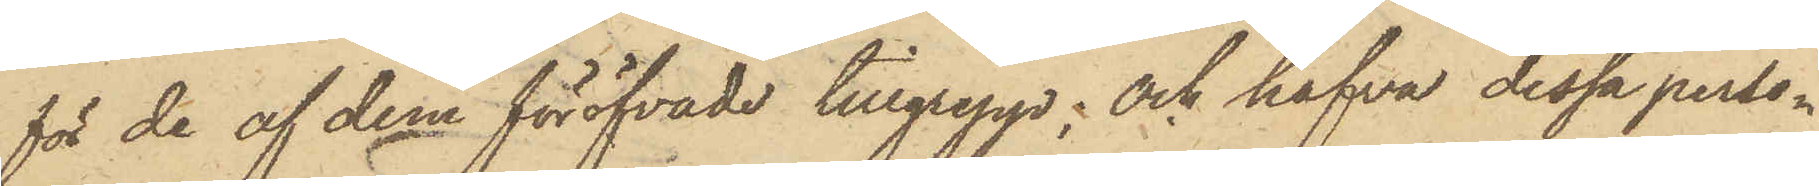för de af dem föröfvade tillgrepp; och hafva dessa perso¬
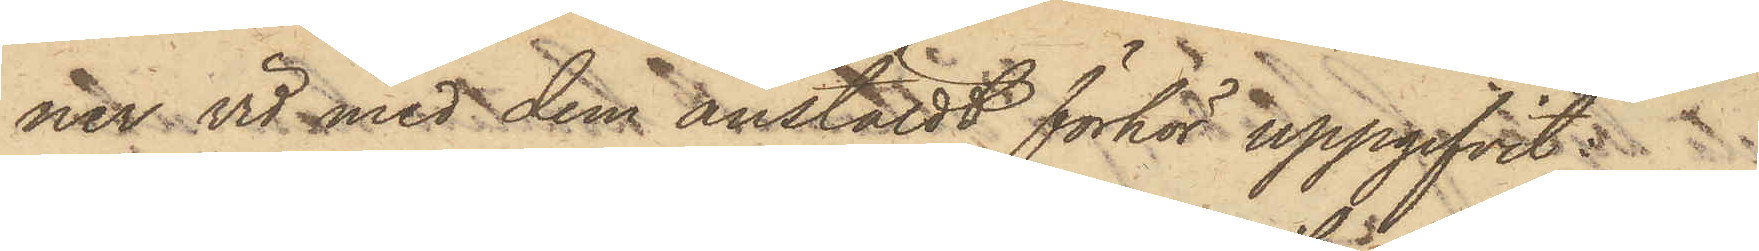ner vid med dem anställdt förhör uppgifvit:
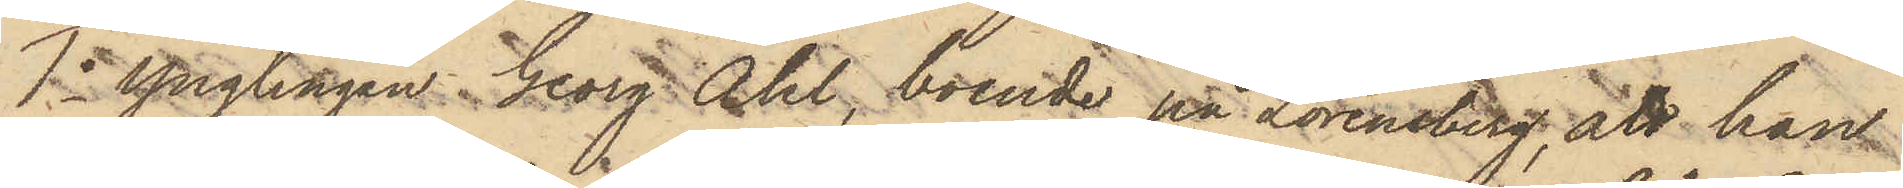1o Ynglingen Georg Ahl, boende på Lorensberg, att han
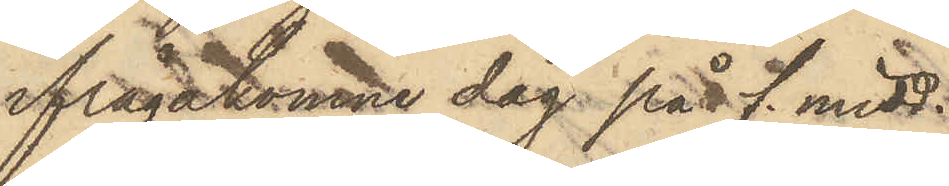ifrågakomne dag på f. midd.
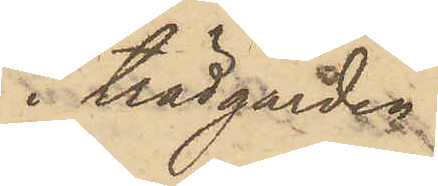i trädgården
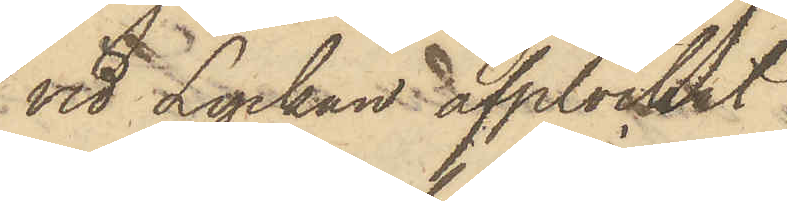vid Lyckan afplockat
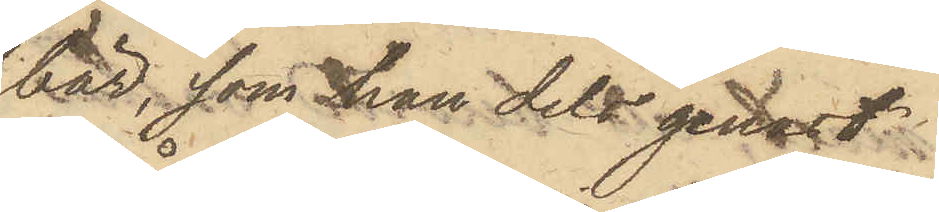bär, som han dels genast
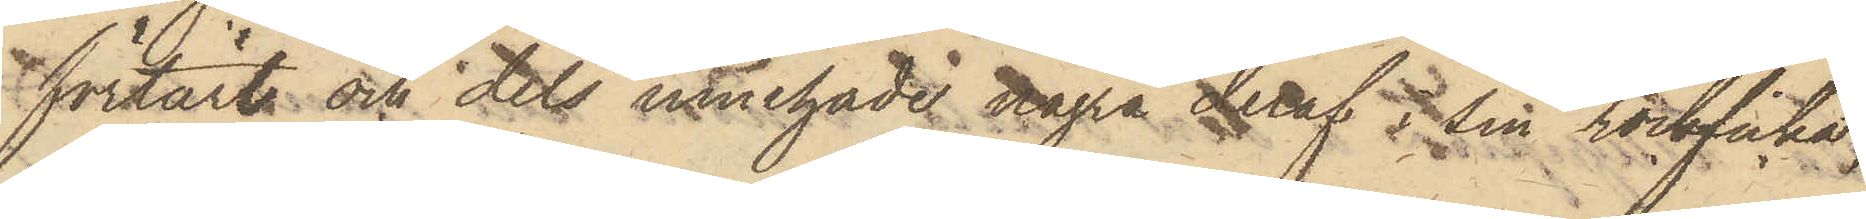förtärt och dels innehade några deraf i sin rockficka,
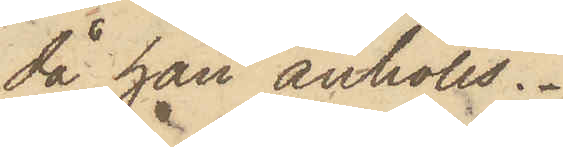då han anhölls.
